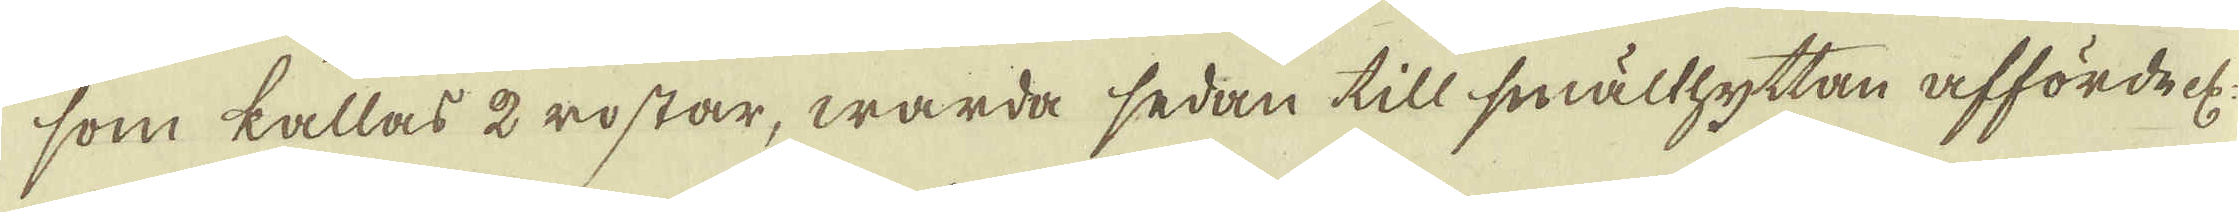som kallas 2 rostar, warda sedan till smälthyttan affördel;
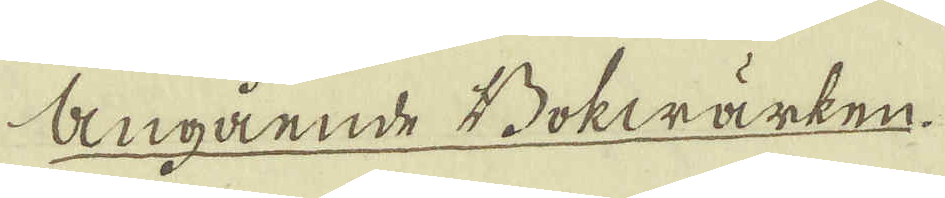angående Bokwärken.
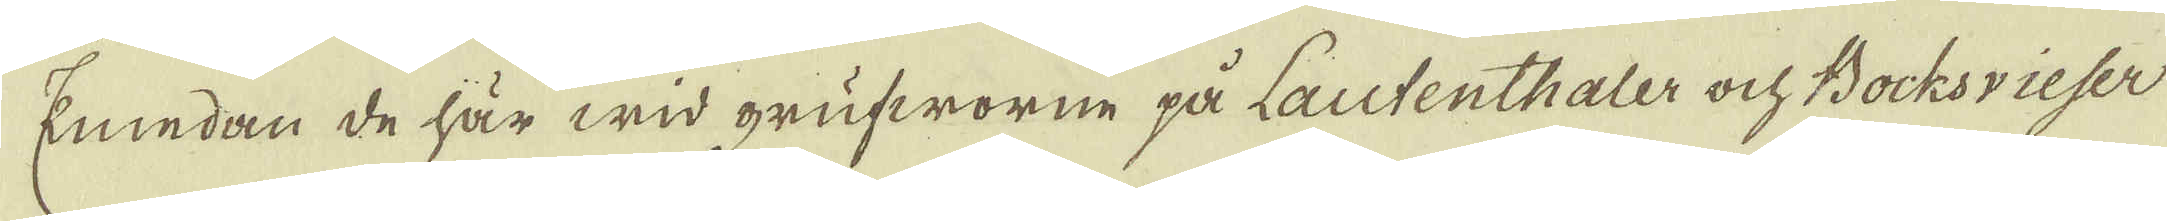Emedan de här wid grufworne på Lautenthaler och Bocksvieser
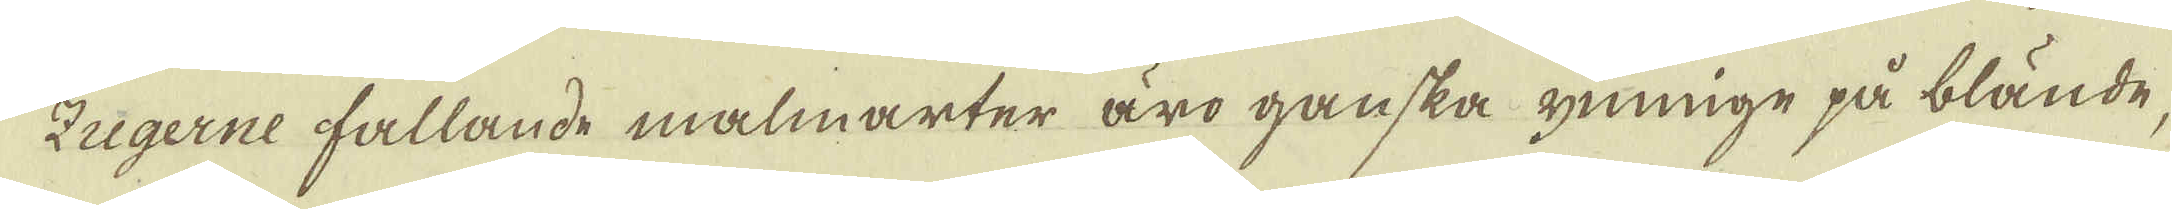Zugerne fallande malmarter äro ganska ynnige på blände,
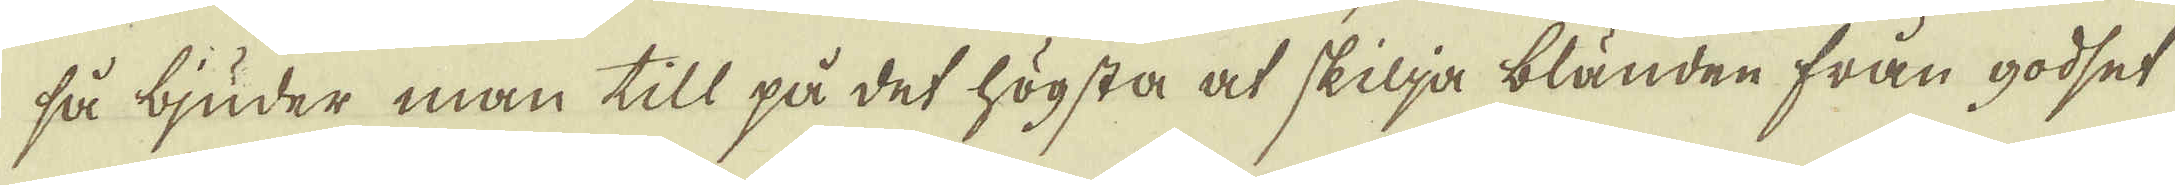så bjuder man till på det högsta at skilja bländen från godset
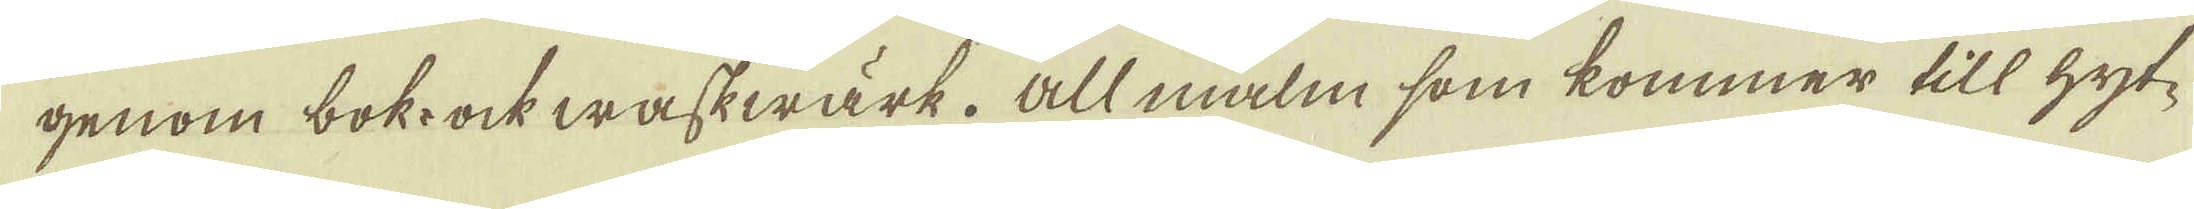genom bok- ock waskwärk. All malm som kommer till hyt-
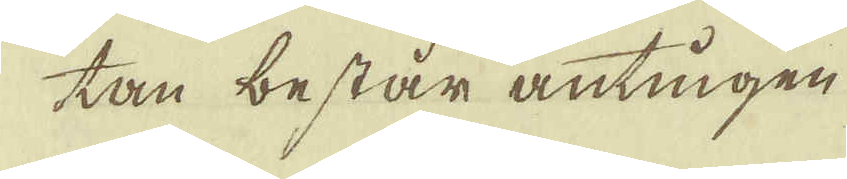tan består antingen
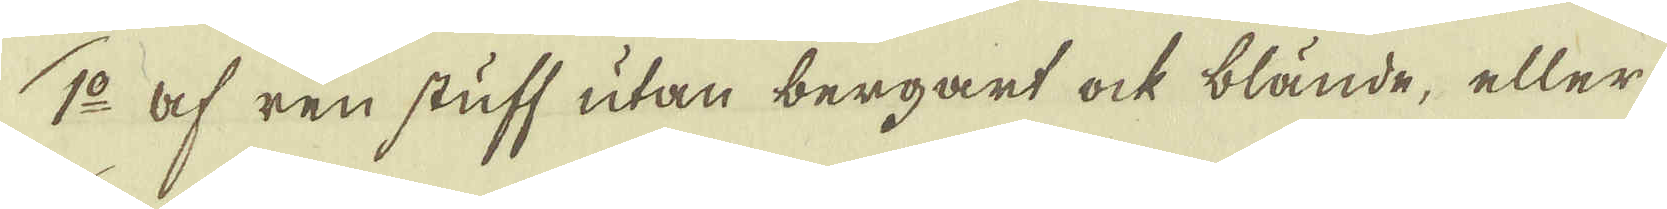1:o af ren stuff utan bergart ock blände, eller
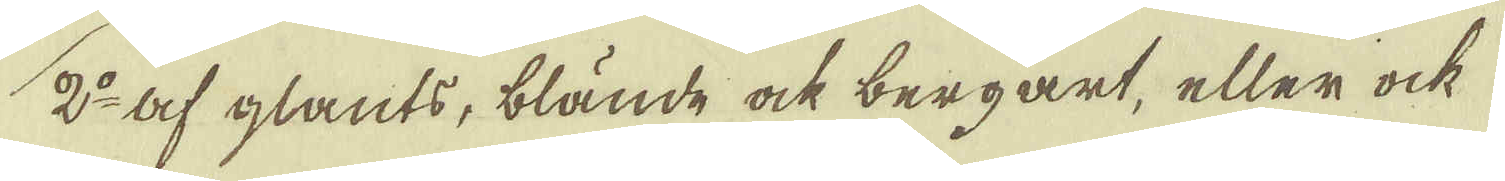2:o af glants, blände ock bergart, eller ock
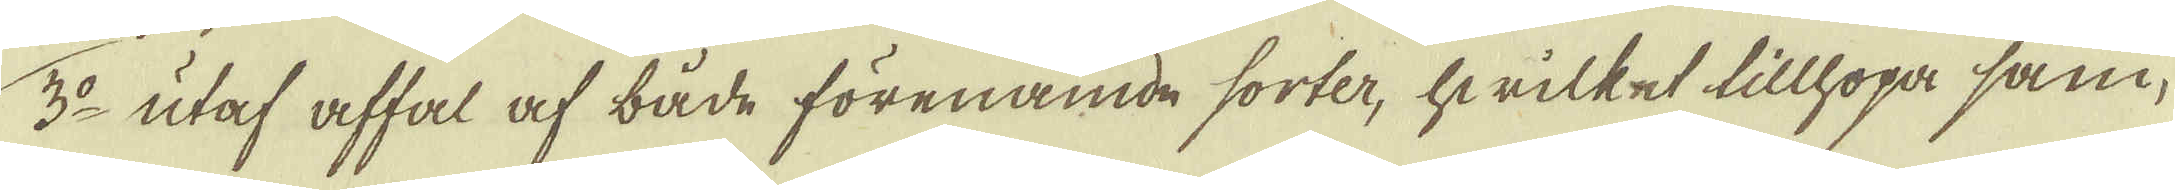3:o utaf affal af både förenämde sorter, hwilket tillhopa sam-
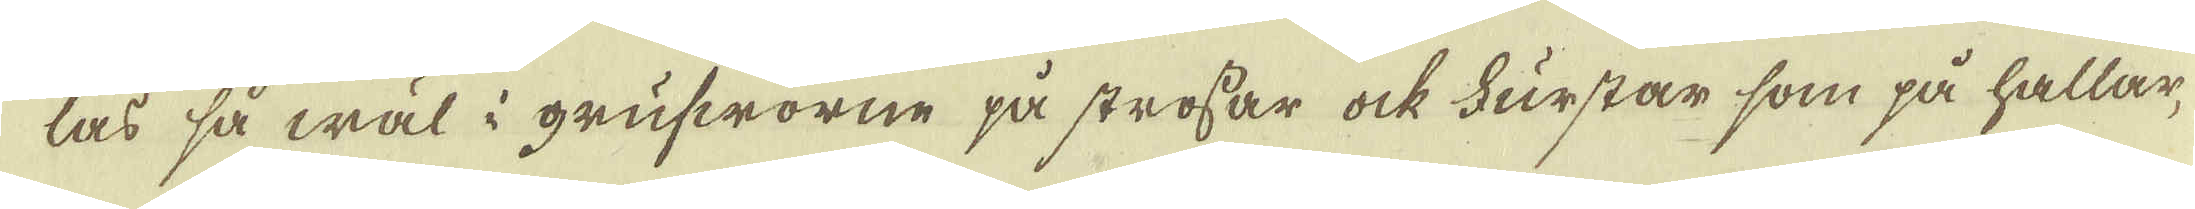las så wäl i grufworne på strossar ock Furstar som på hållar,
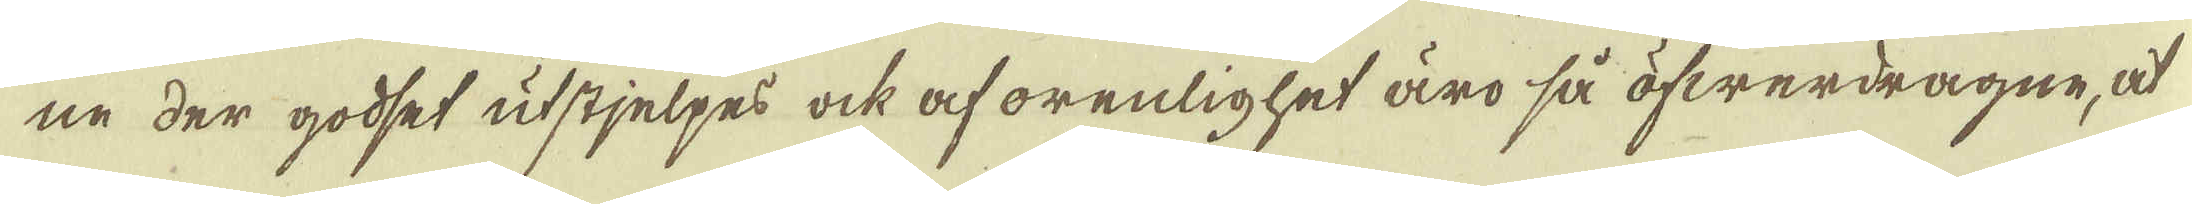ne der godset utstjelpes ock af orenlighet äro så öfwerdragne, at
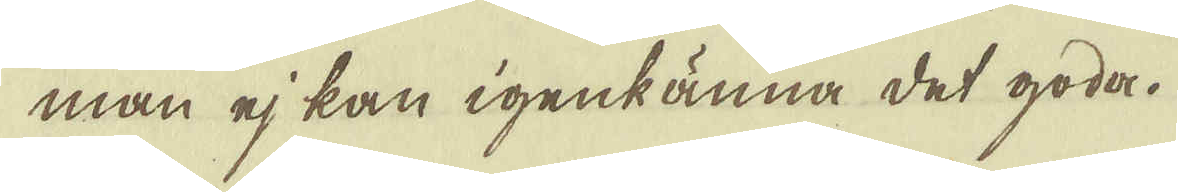man ej kan igenkänna det goda.
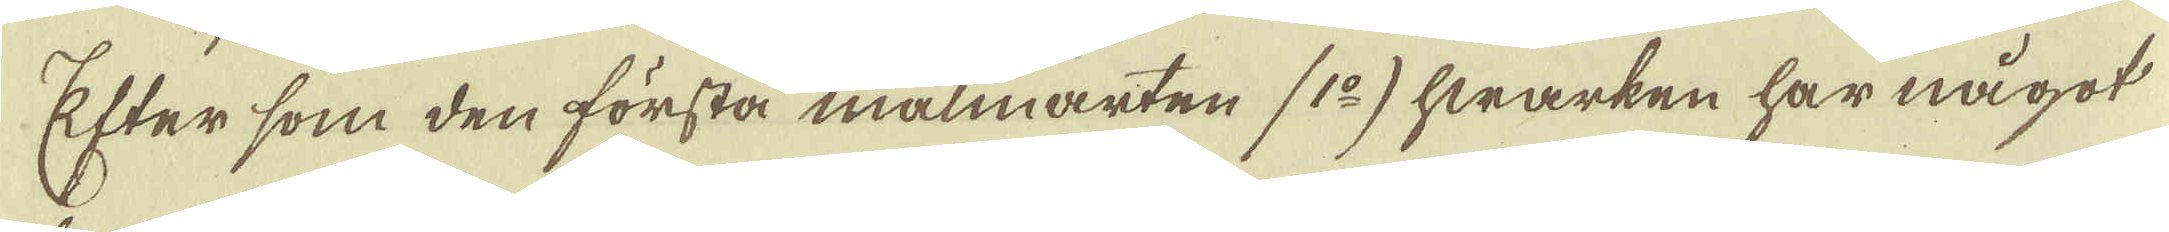Efter som den första malmarten (1:o) hwarken har något
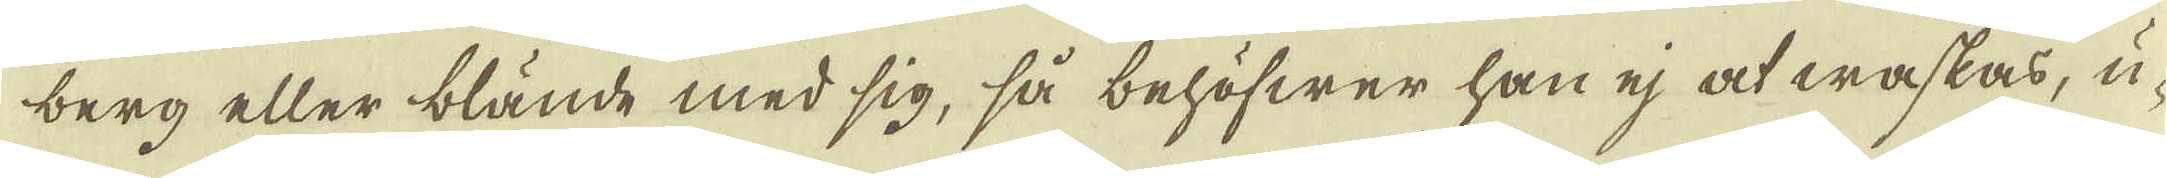berg eller blände med sig, så behöfwer han ej at waskas, u-
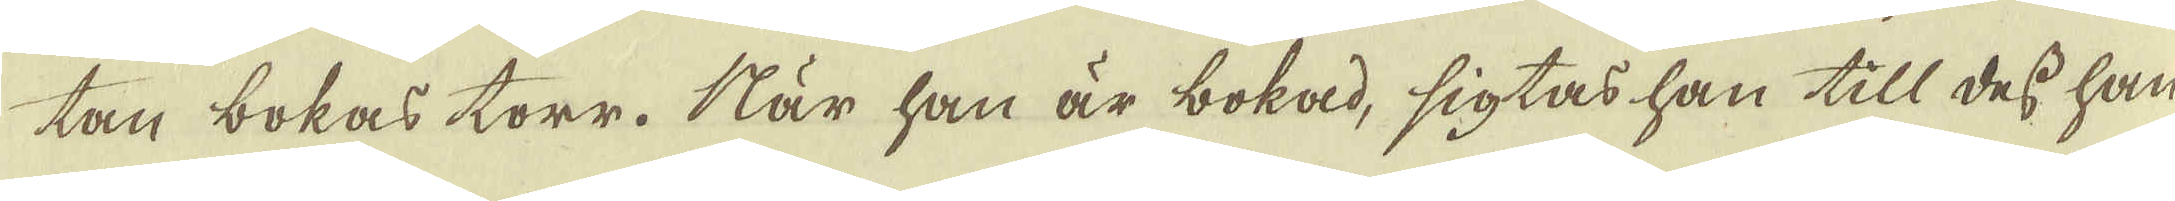tan bokas torr. När han är bokad, sigtas han till dess han
